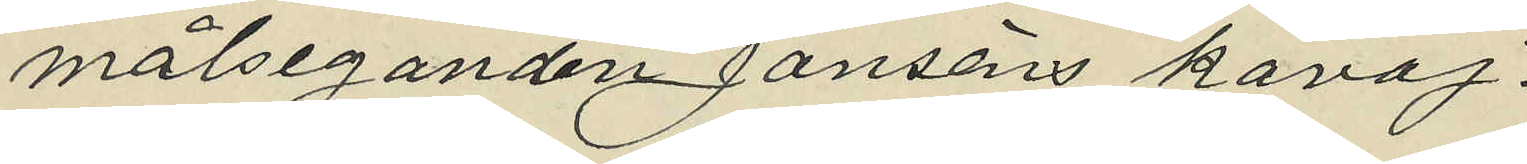målseganden Janssons kavaj.
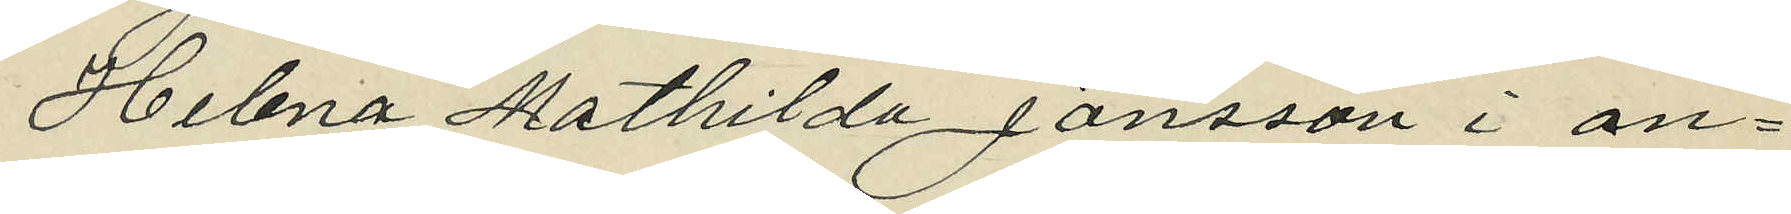Helena Mathilda Jansson i an¬
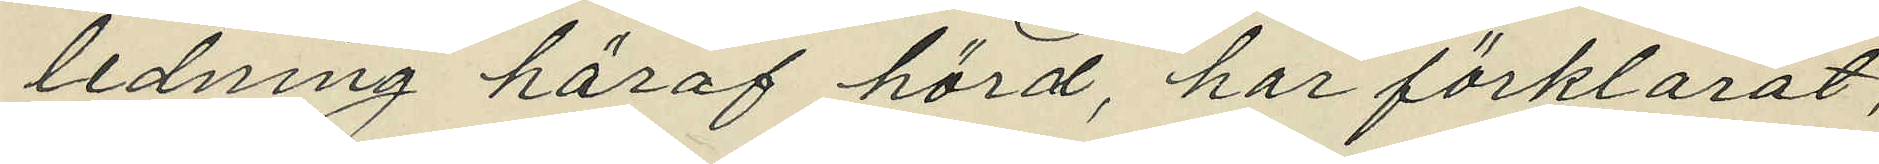ledning häraf hörd, har förklarat,
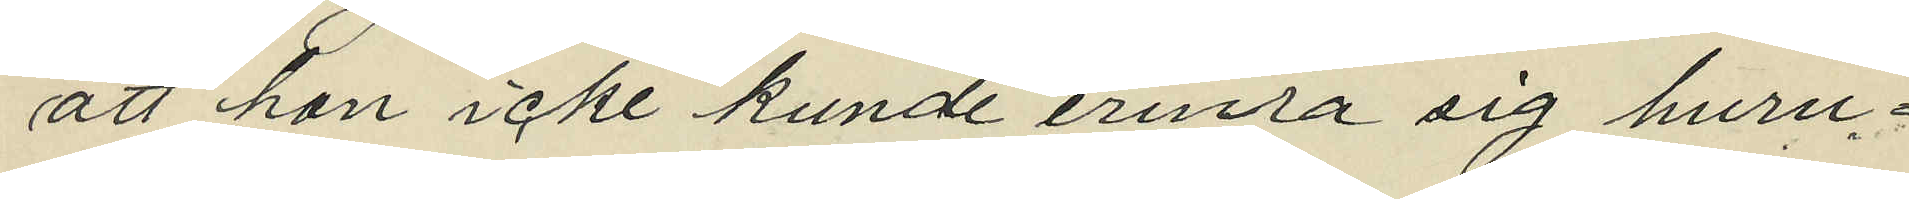att hon inte kunde erinra sig huru¬
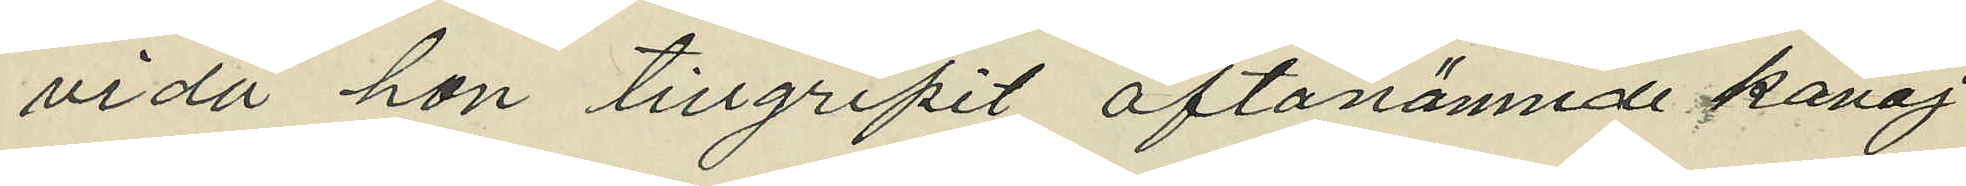vida hon tillgripit oftanämnde kavaj
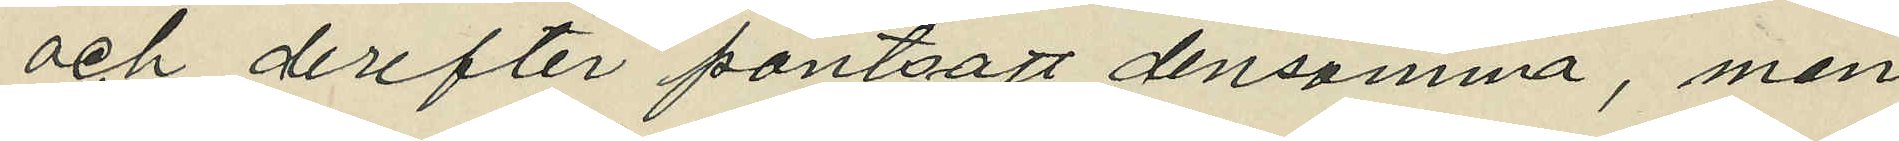och derefter pantsatt densamma, men
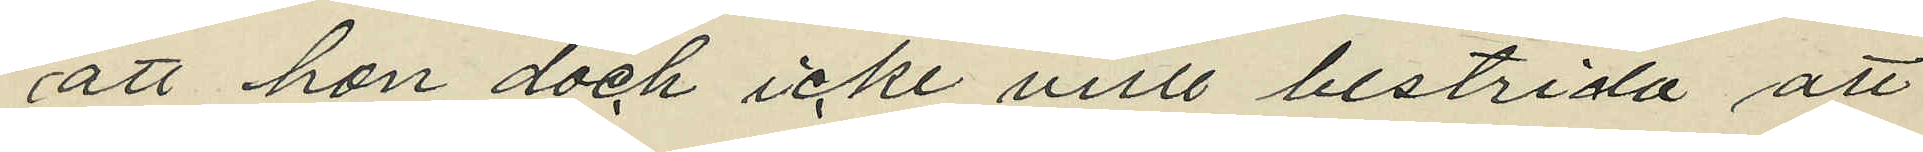att hon dock icke vill bestrida att
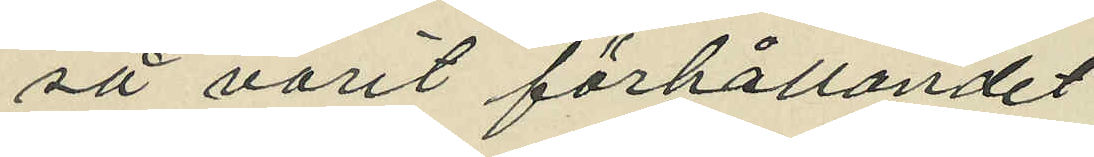så varit förhållandet.
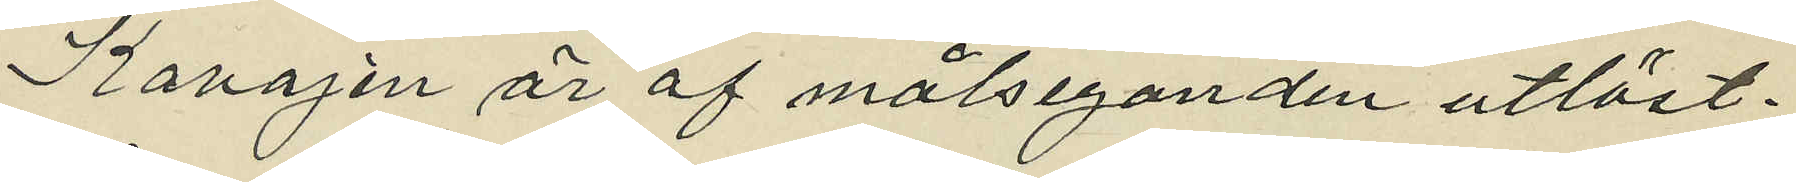Kavajen är af målseganden utlöst.
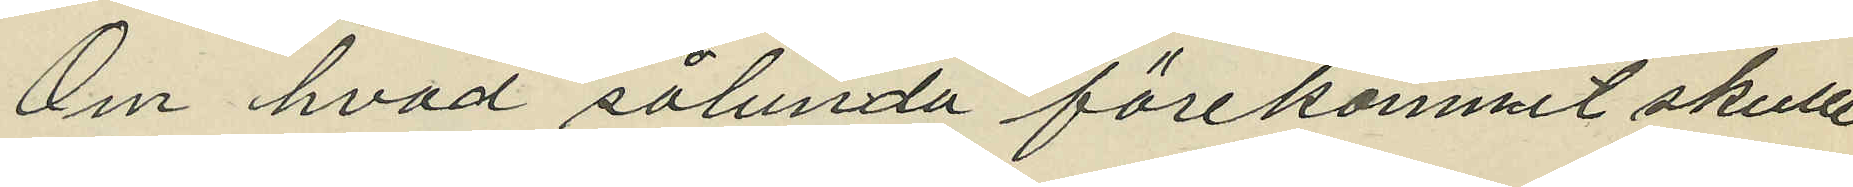Om hvad sålunda förekommit skulle
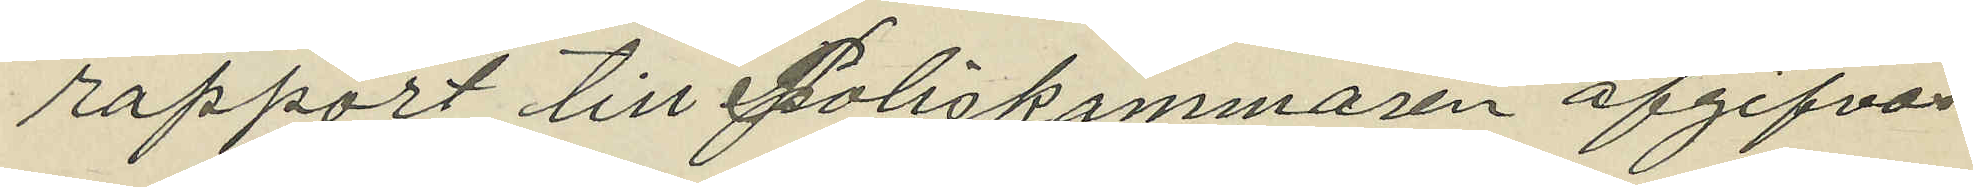rapport till Poliskammaren afgifvas.
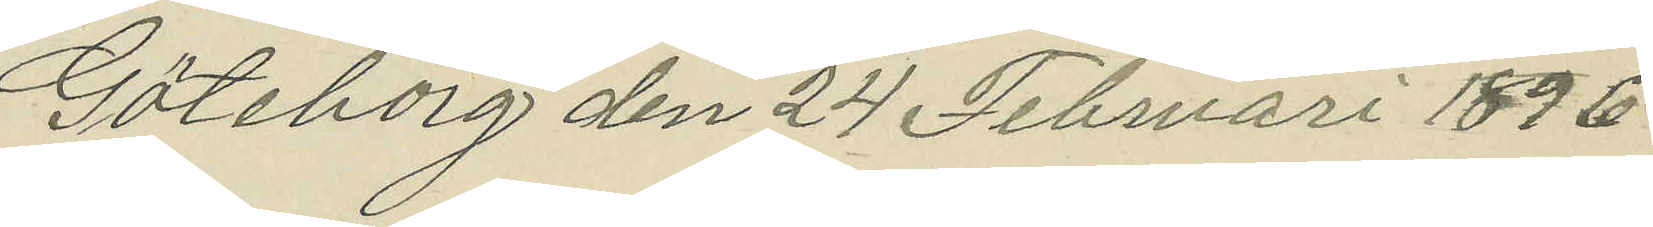Göteborg den 24 Februari 1896.
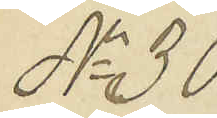No 30
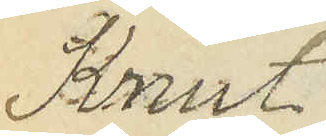Knut
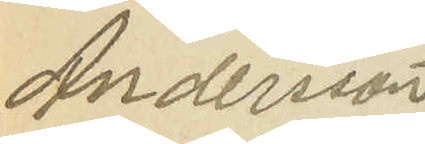Andersson
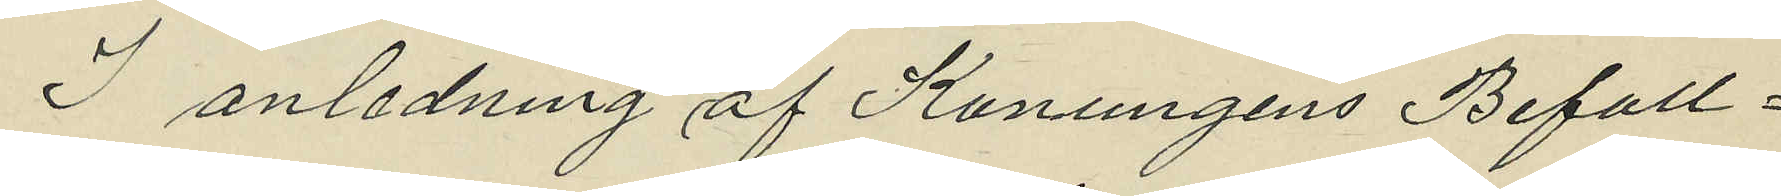I anledning av Konugens Befall¬
